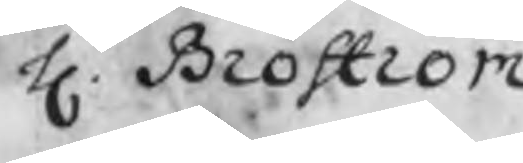H. Broström
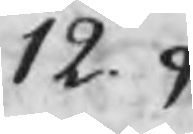12. 9
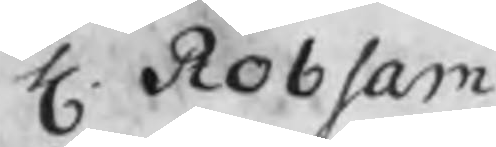H. Robsam
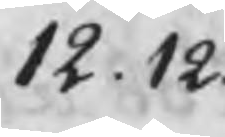12.12.
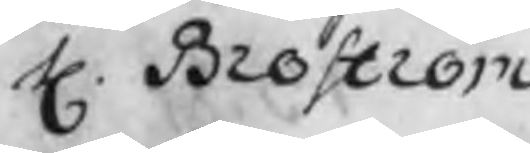H. Broström
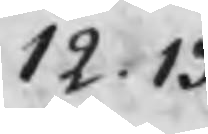12.13
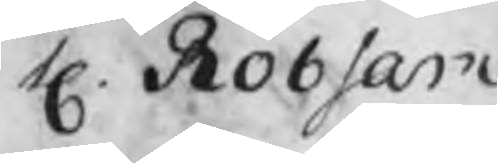H. Robsam
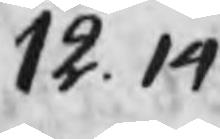12. 14
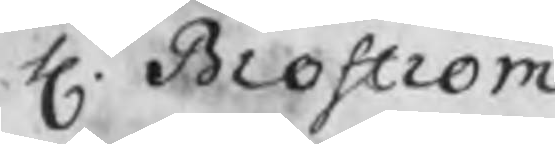H. Broström
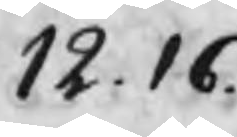12.16.
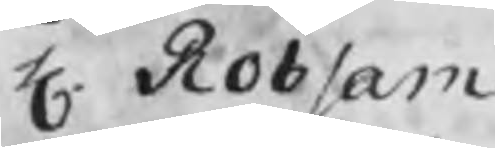H. Robsam
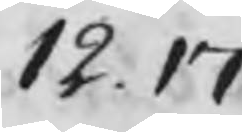12.17.
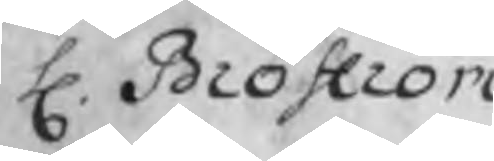H. Broström
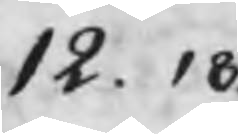12. 18.
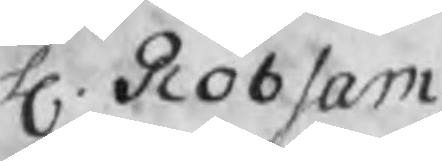H. Robsam
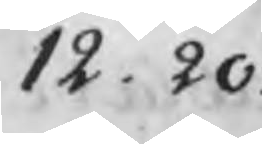12. 20.
